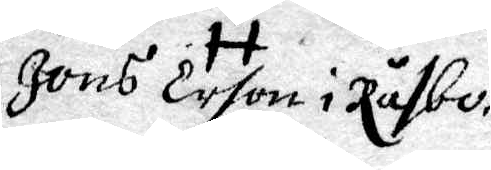Jöns Erson i Råsbo
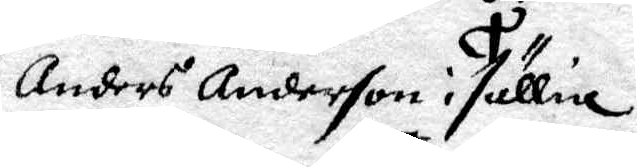Anders Anderson i sällie
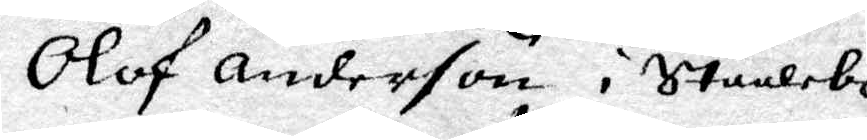Olof Anderson i Stuulebo
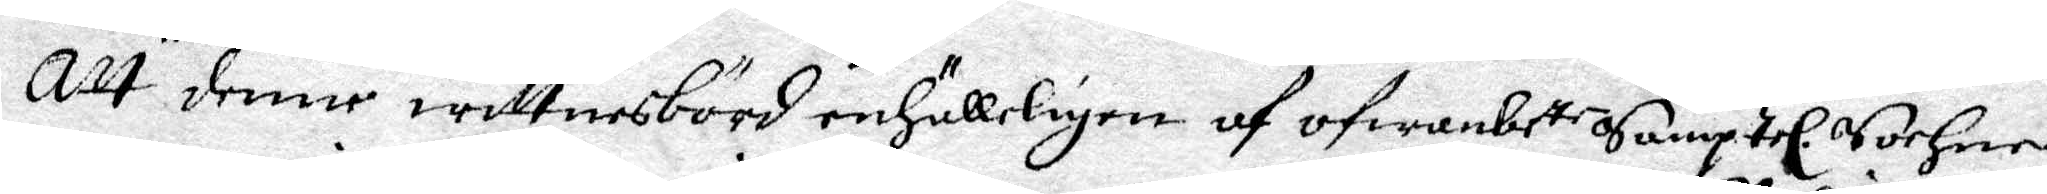Att denne wittnesbörd enhälleligen af ofwanbete Samptel Sochne¬
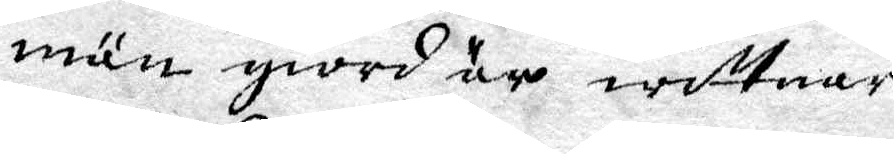män giord är wittnar
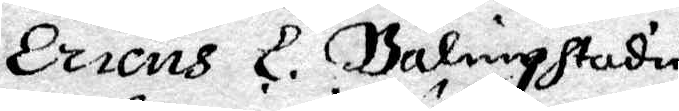Ericus L. Balingstadius
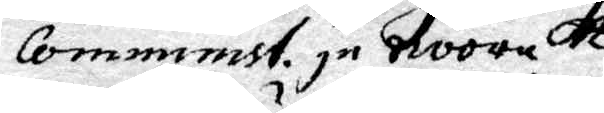Comminist. jn Noora.
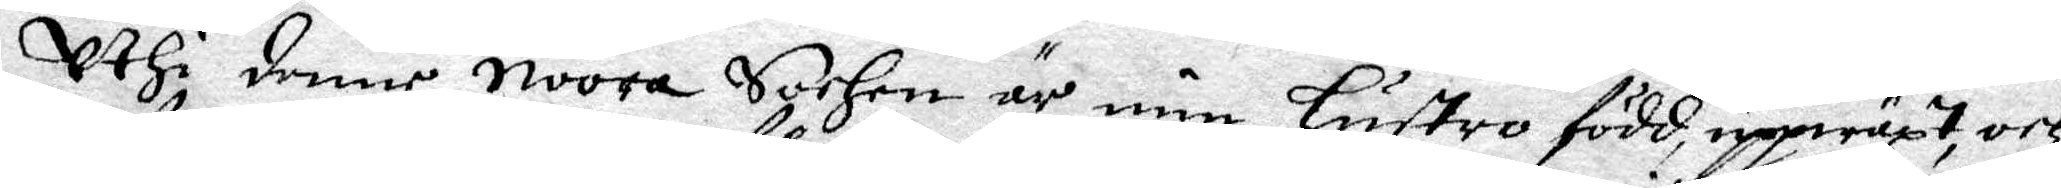Uthi denne Noora Sochn är min Hustro född, uppwäxt och
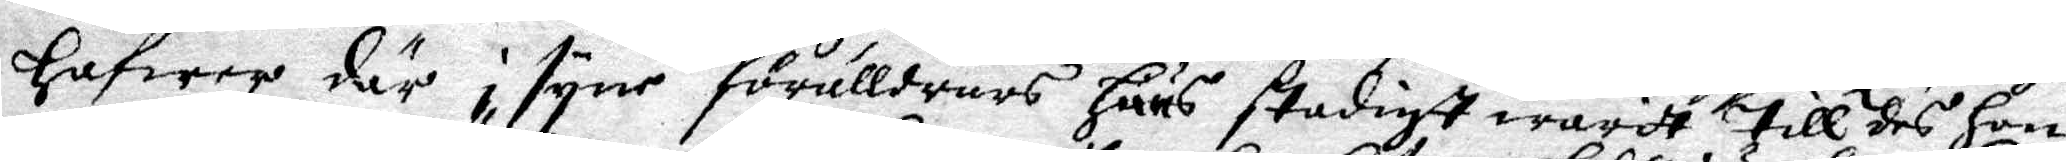Hafwer där i syne förälldrars Huus stadigt warit till des Hon
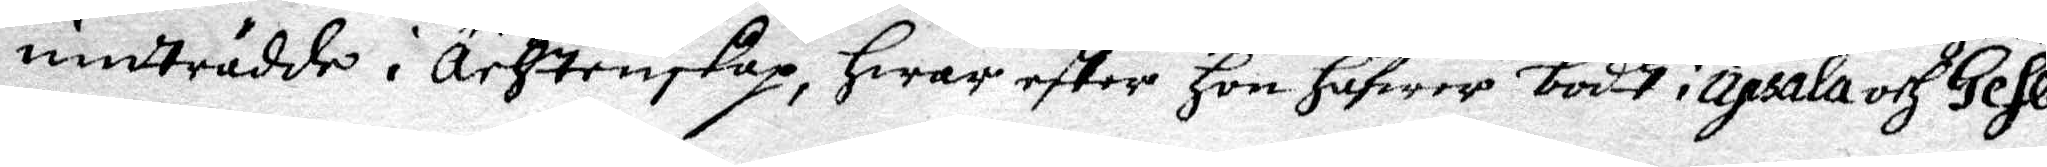inträdde i ächtenskap, Hwar efter Hon Hafwer bodt i Upsala och Gefle.
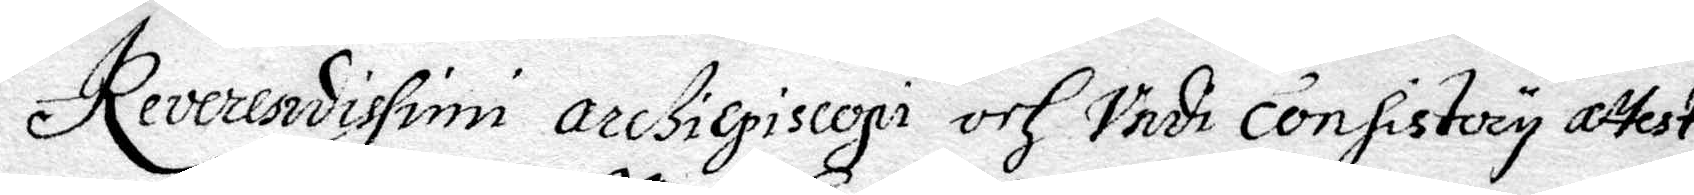Reveresidissimi arcßiepiscopi och Vedi consistory attets
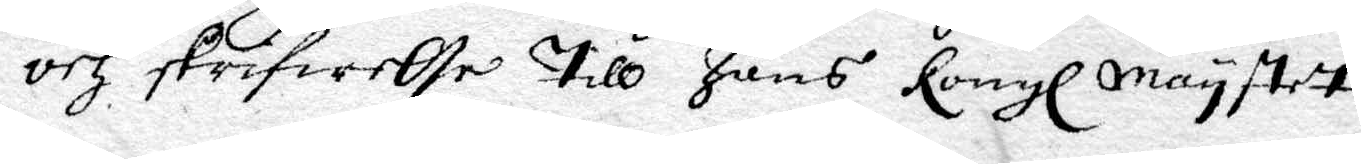och skrifwelse Till hans Kongl Maystet.
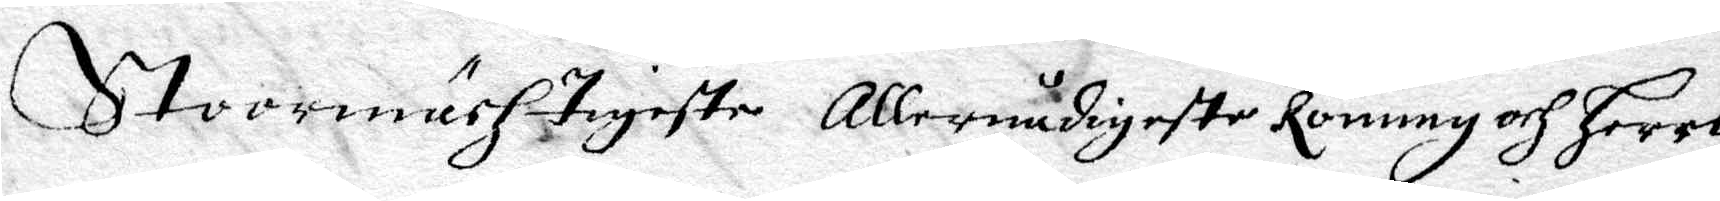Stoormächtigiste Allernådigste Konung och Herre
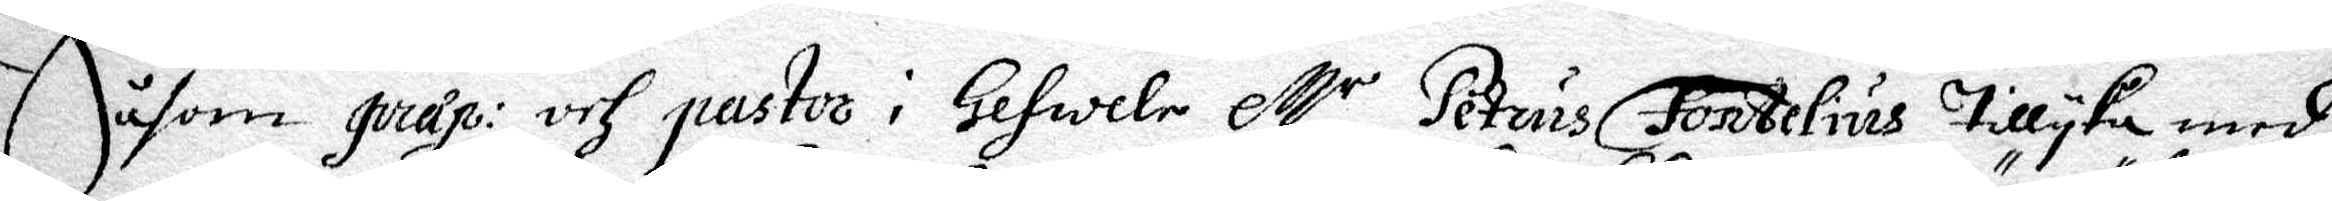Såsom gviap: och pastor i gefwele Mr Petrus Fontelius Tillyka med
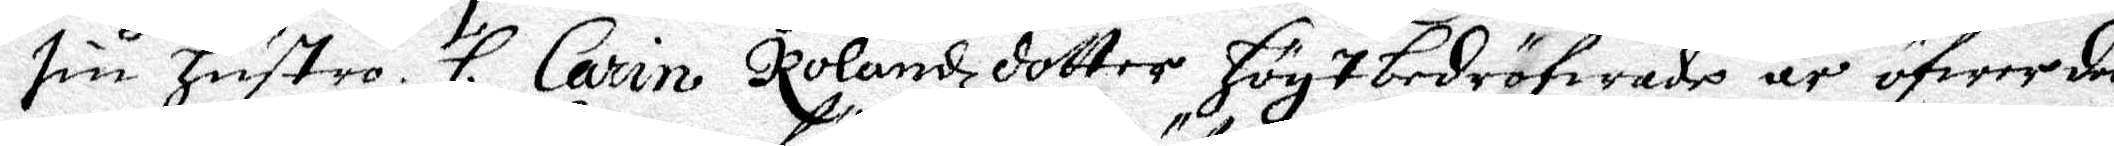sin Hustro H. Carin Rolandzdotter HögTbedröfwade är öfwer den
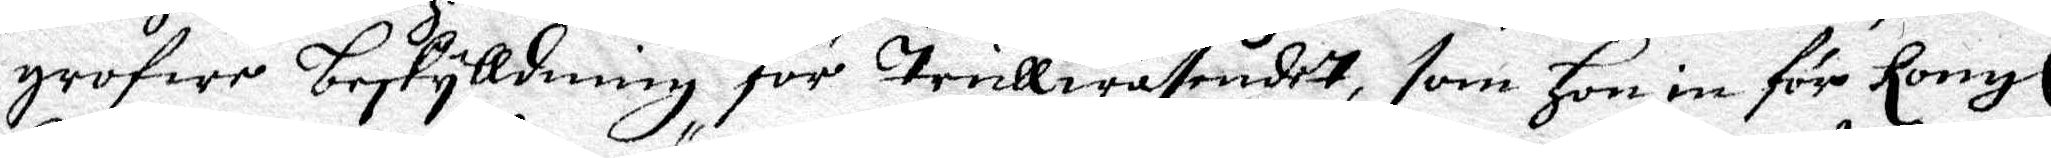grofwe beskylldning för Trullwäsendet, som Hon in för Kongl
